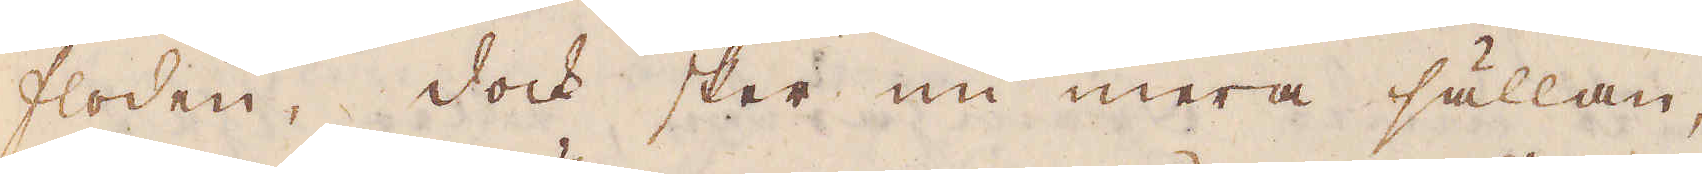floden, dock sker nu mera sällan,
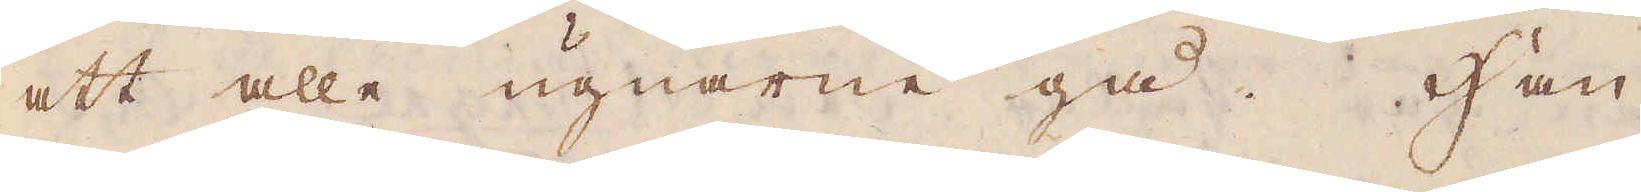att alla ugnarne gå. Han
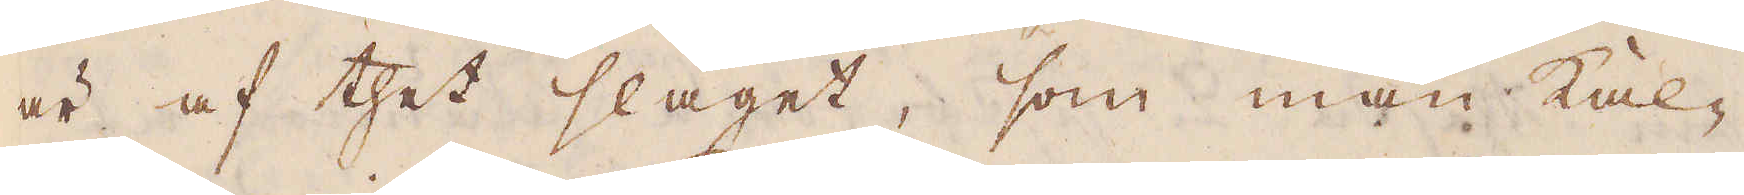är af thet slaget, som man kal-
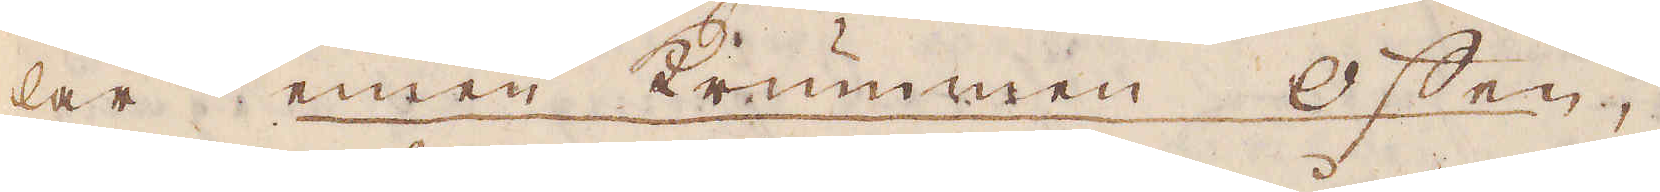lar einen krummen Offen,
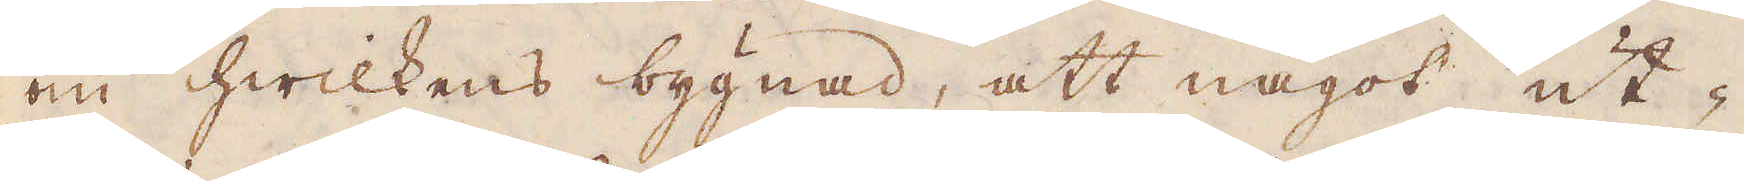om hwilkens bygnad, att något ut-
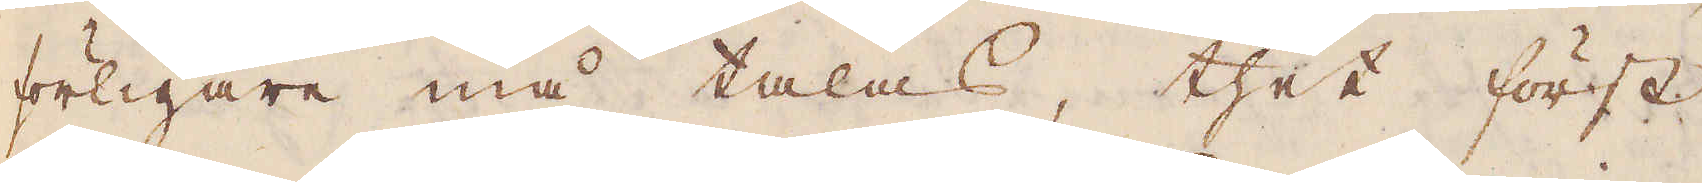förligare må talas, thet först
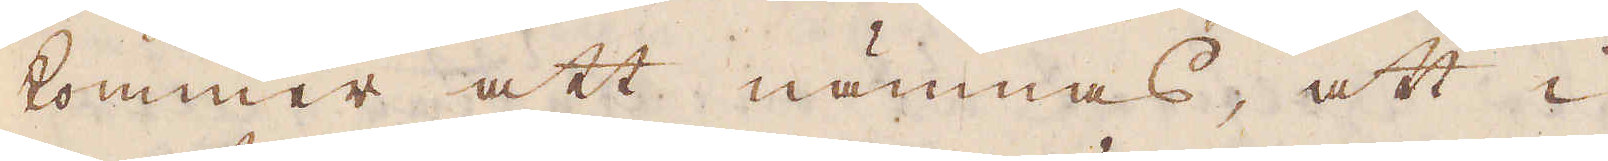kommer att nämnas, att i
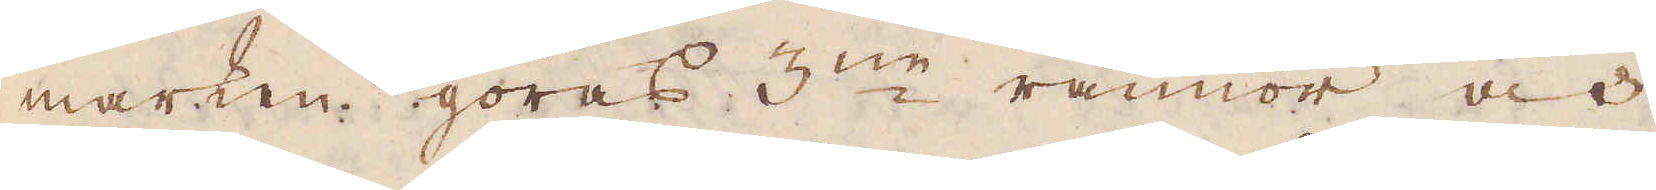marken göras 3:ne rännor och
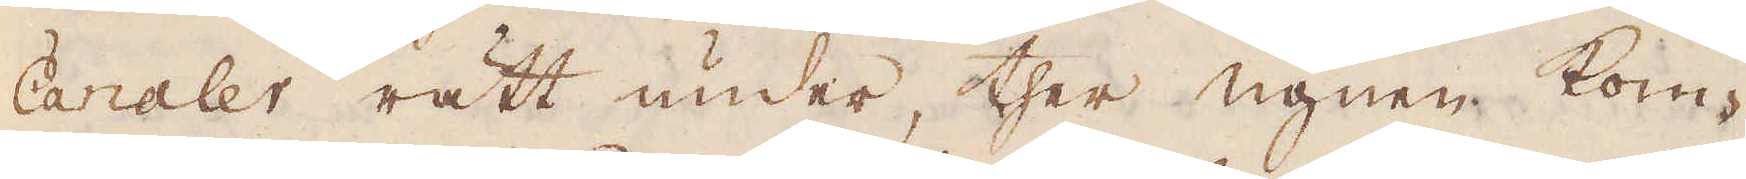Canaler rätt under ther ugnen kom-
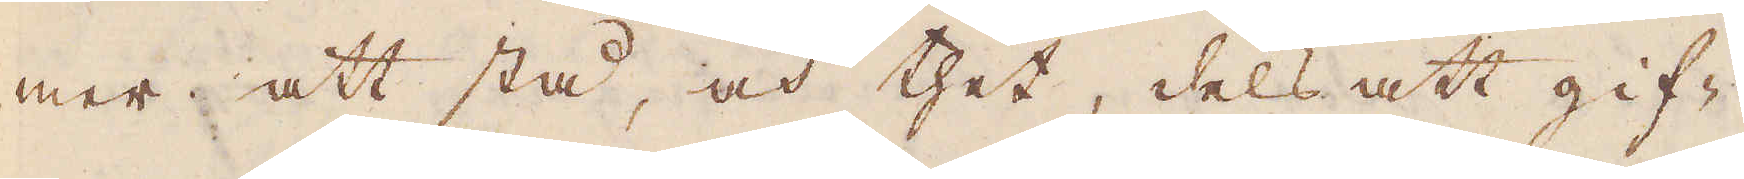mer att stå, och thet, dels att gif-
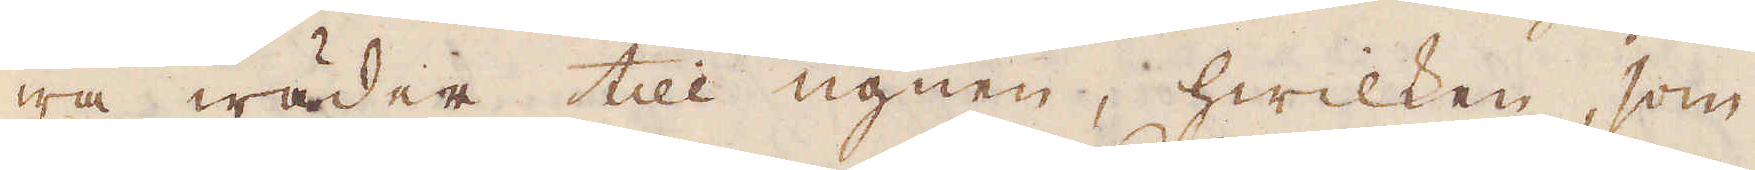wa wäder till ugnen, hwilken, som
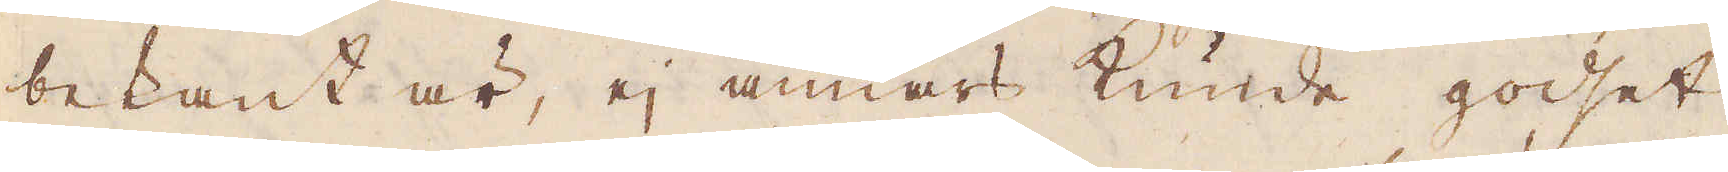bekant är, ej annars kunde godset
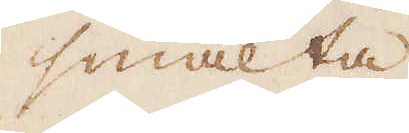smälta
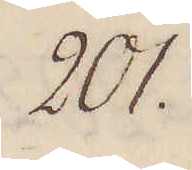201.
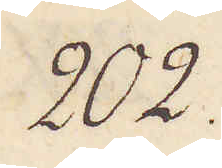202.
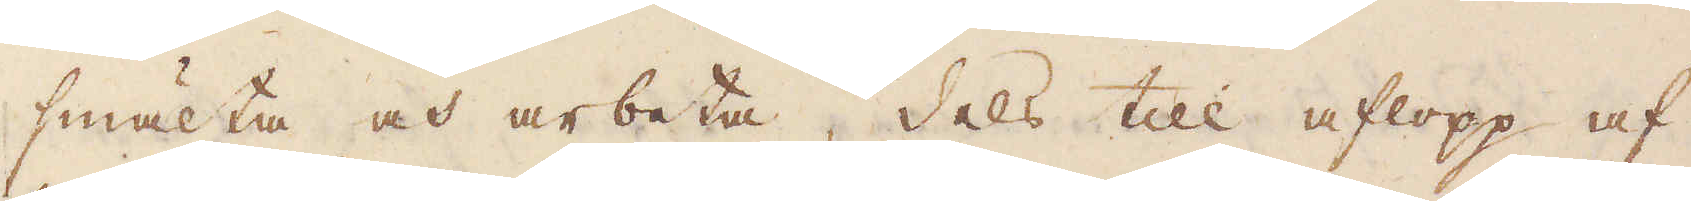smälta och arbeta, dels till aflopp af
